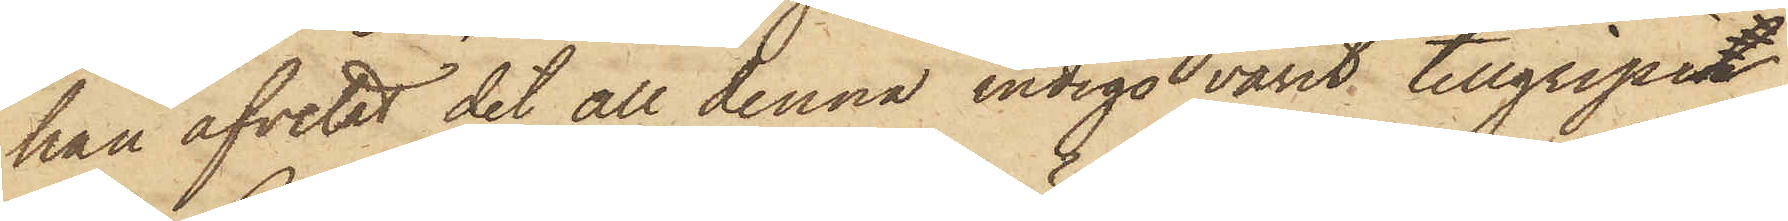han afvetat det all denna indigo varit tillgripen
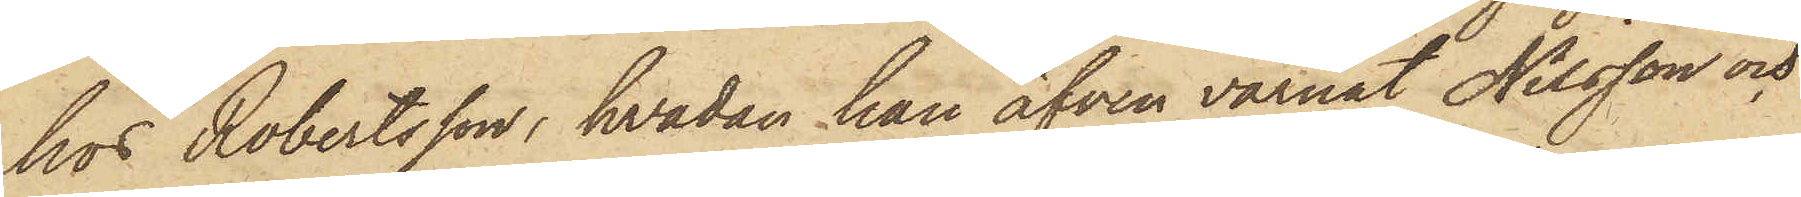hos Robertsson, hvadan han äfven varnat Nilsson och
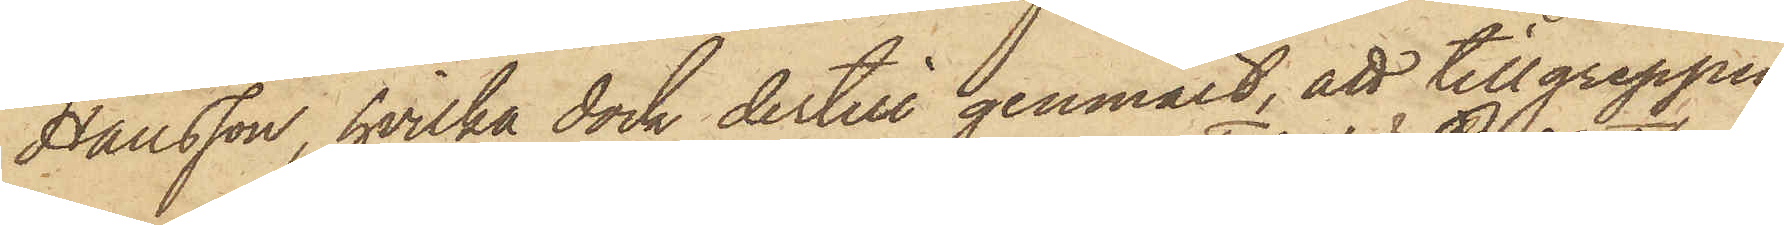Hansson, hvilka dock dertill genmält, att tillgreppen
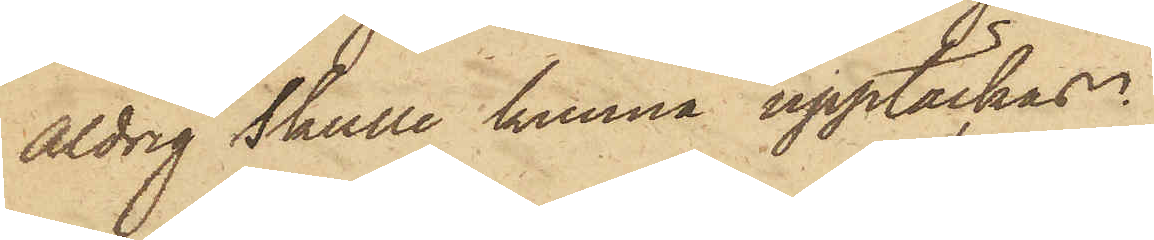aldrig skulle kunna upptäckas.
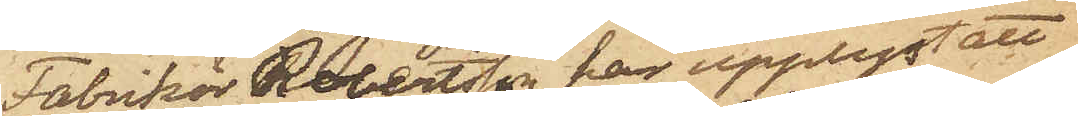Fabrikör Robertsson har upplyst att
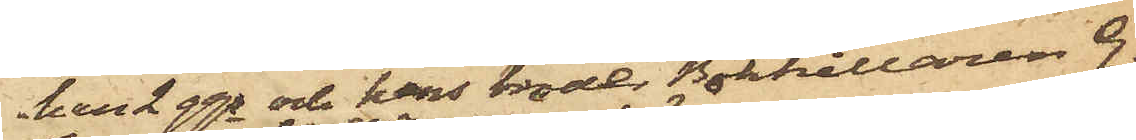han 2 ggr och hans broder Bokhållaren G.
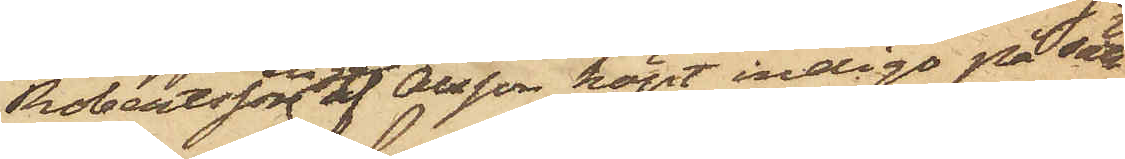Robertsson en ggr af Olsson köpt indigo på sätt
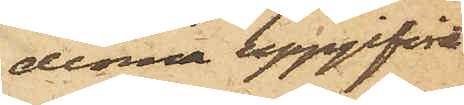denna uppgifvit
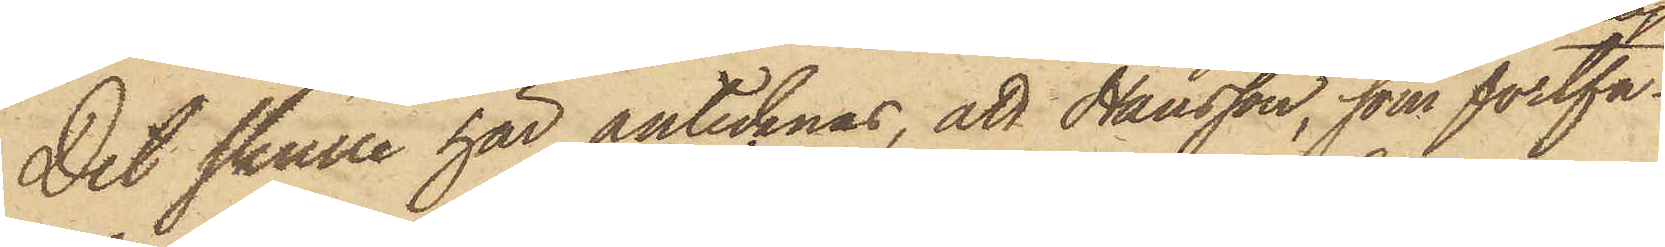Det skulle här antecknas, att Hansson, som fortfa¬
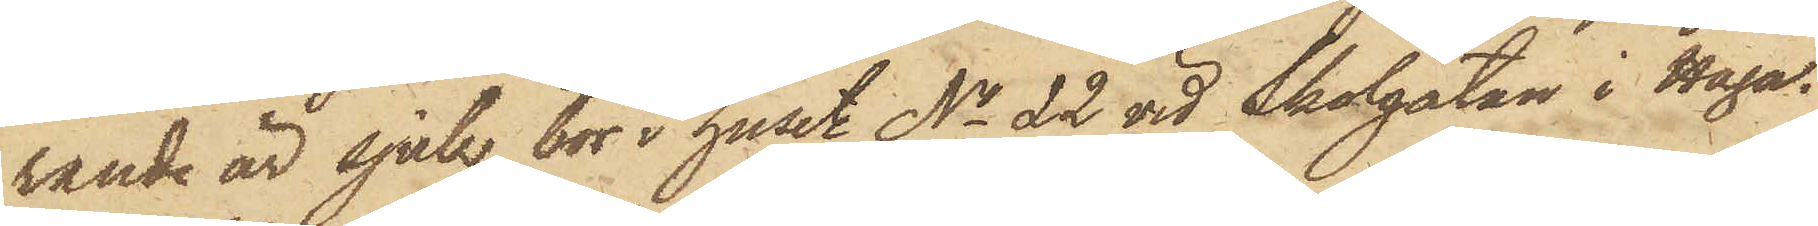rande är sjuk, bor i huset No 22 vid Skolgatan i Haga.
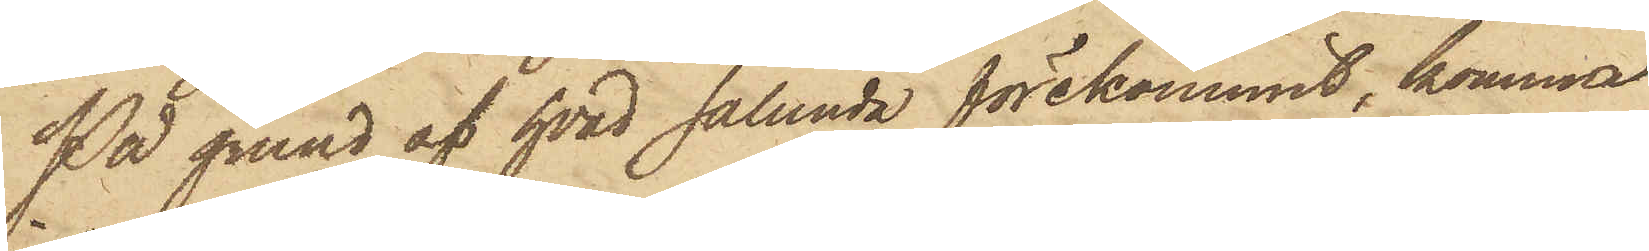På grund af hvad sålunda förekommit, komma
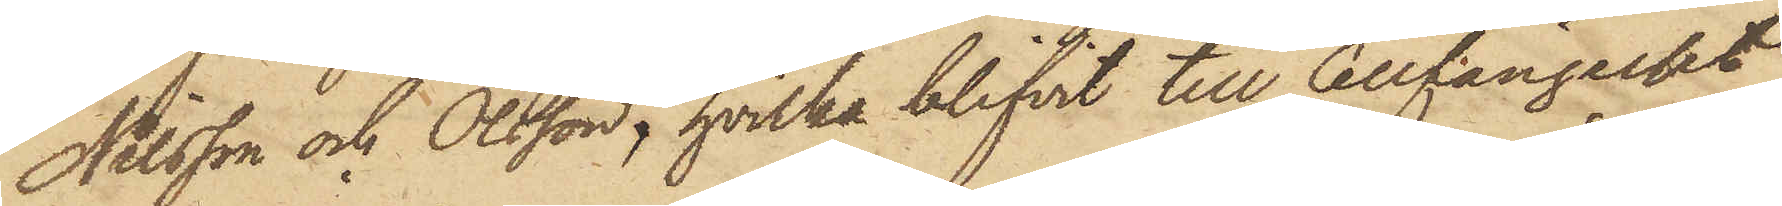Nilsson och Olsson, hvilka blifvit till Cellfängelset
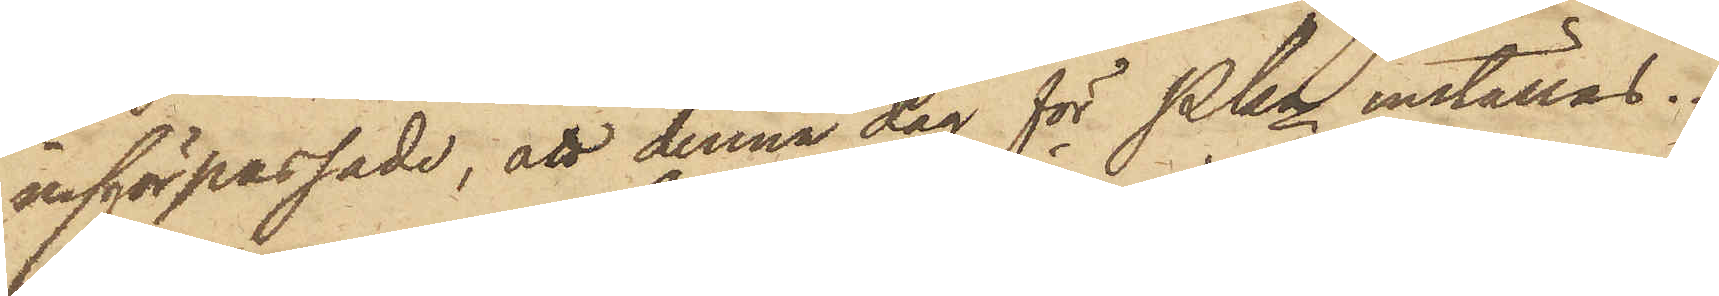införpassade, att denna dag för Pkn inställas.
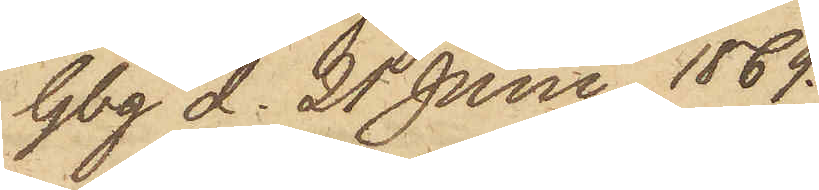Gbg d. 21 Juni 1869.
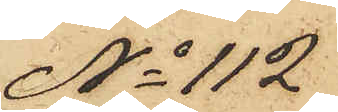No 112
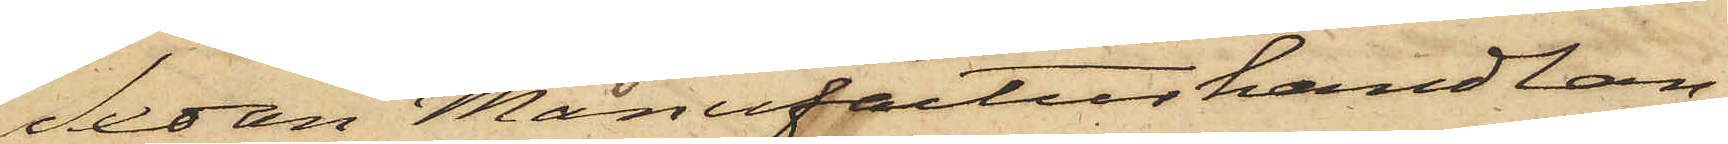Sedan Manufacturhandlan¬
